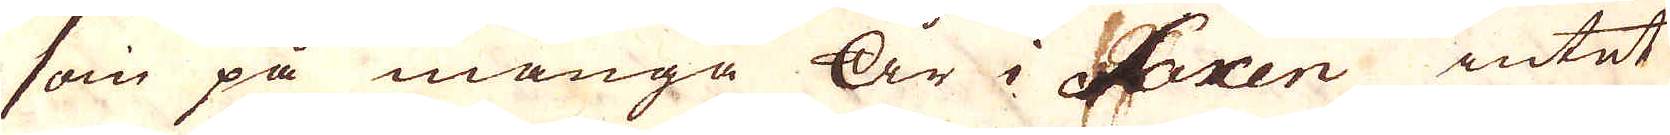som på många År i Saxen intet
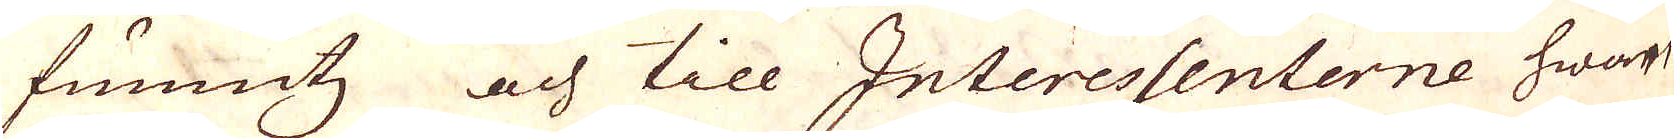funnits och till Interessenterne hwart
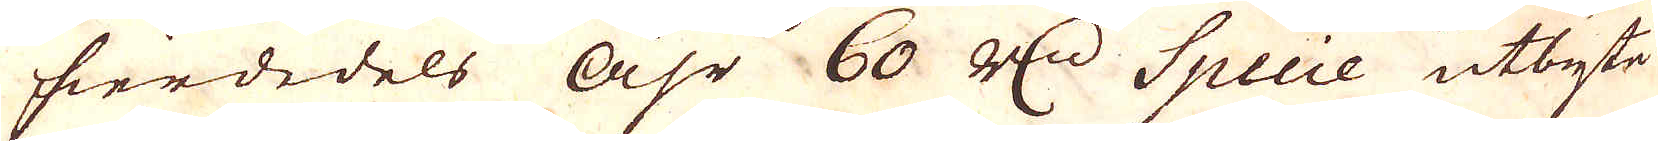fierdedels åhr 60 R:dr Specie utbyte
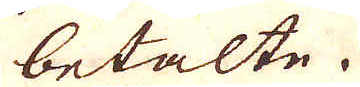betalte.
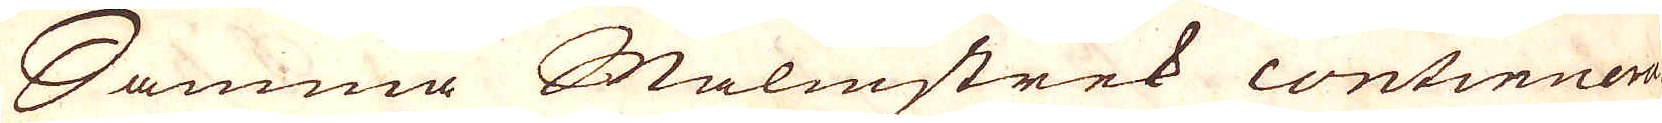Samma Malmstrek continuera-
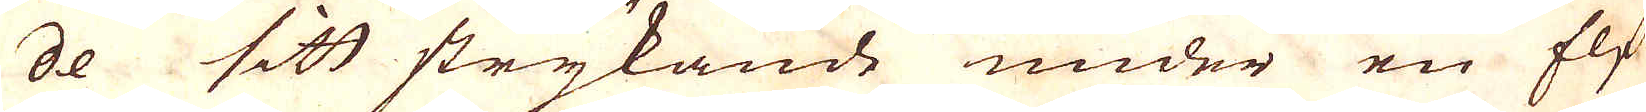de sitt strykande under en Elf
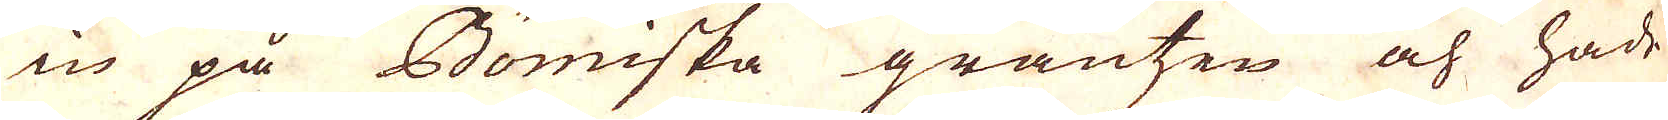in på Bömiska gräntsen och hade
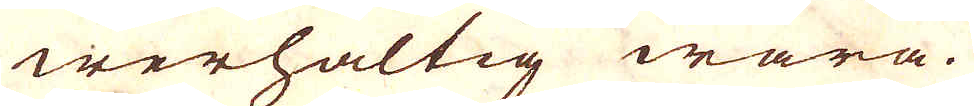werhaltig wara.
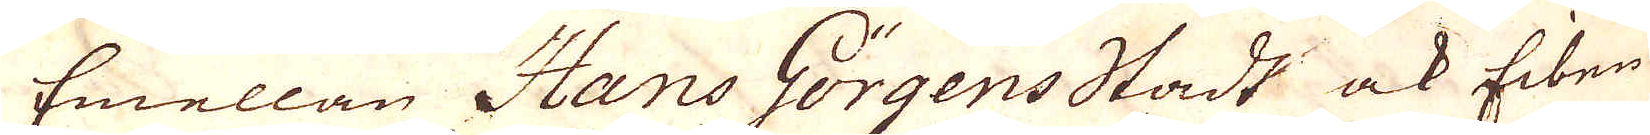Emellan Hans Görgensstadt ock Eiben
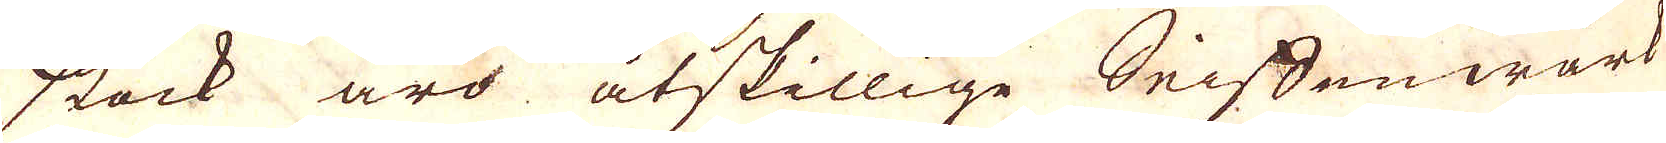stock äro åtskillige Seiffenwärk
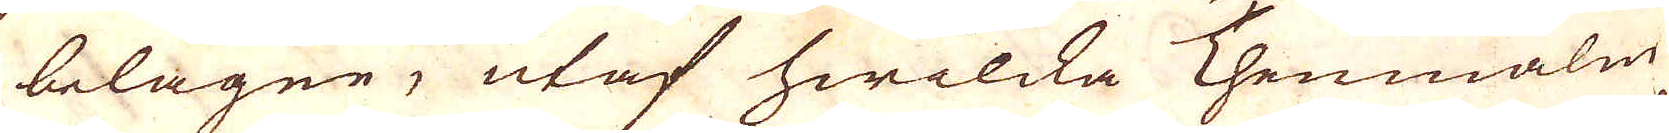belägne, utaf hwilcka Thenmalm
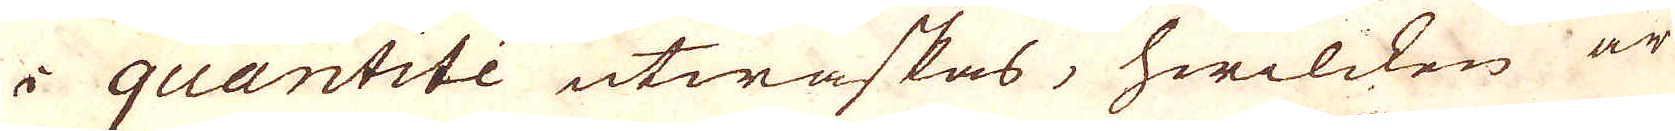i quantitée utwaskas, hwilcken är
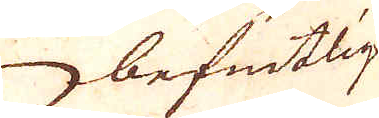befintlig
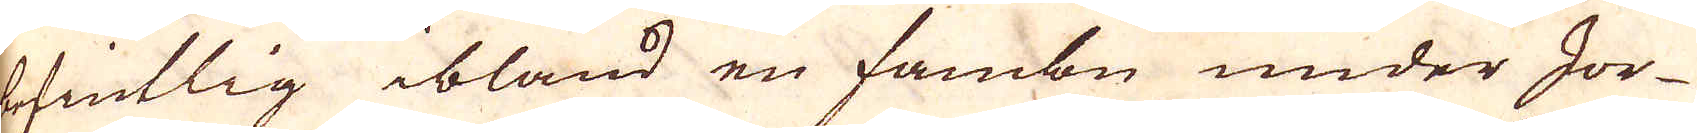befintlig ibland en fambn under Jor-
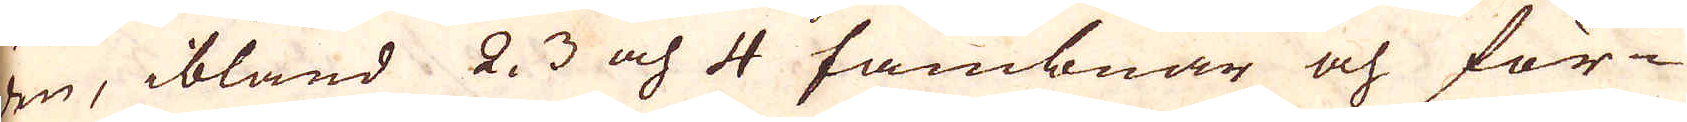den, ibland 2. 3 och 4 fambnar och för-
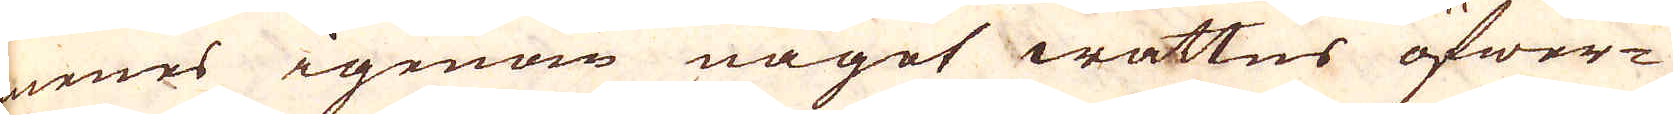menes igenom något wattns öfwer-
